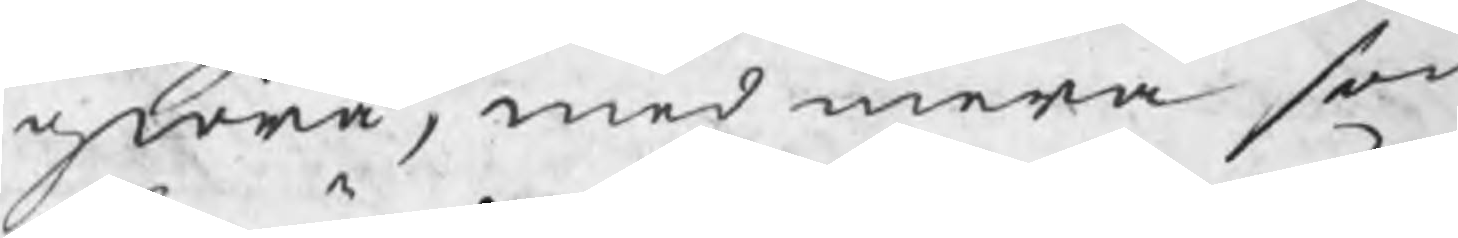giöra, med mera som
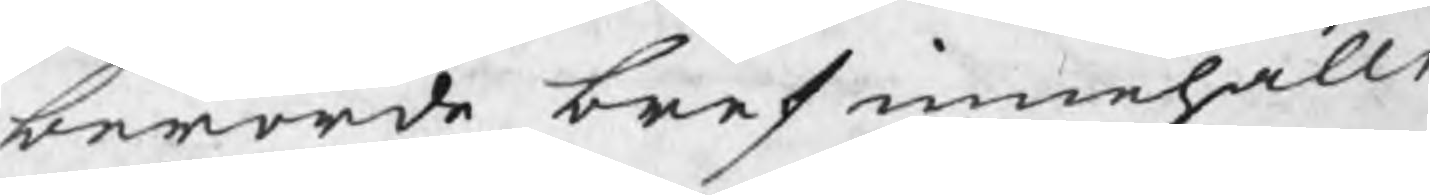berörde bref innehålle
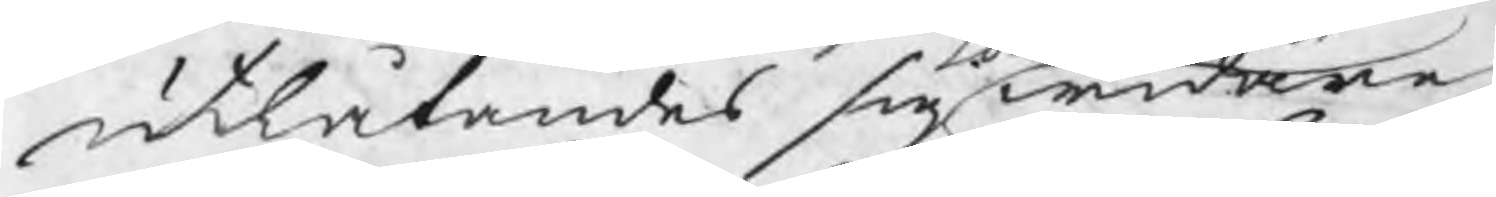utlåtandes sig widare
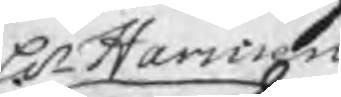Hr Harmens
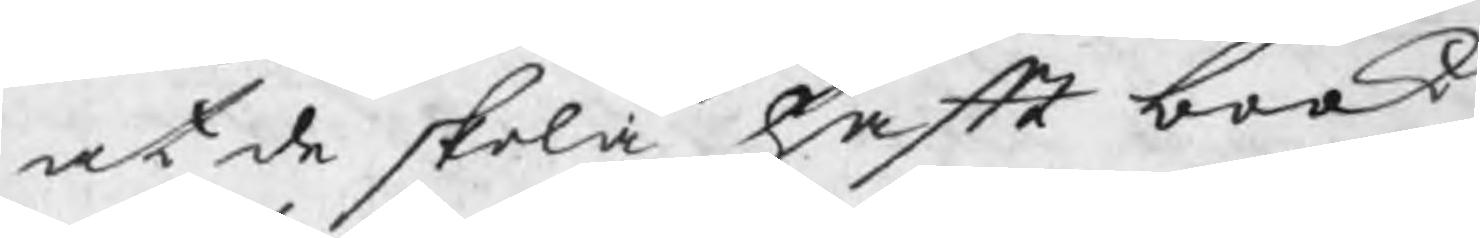at de skola haft book,
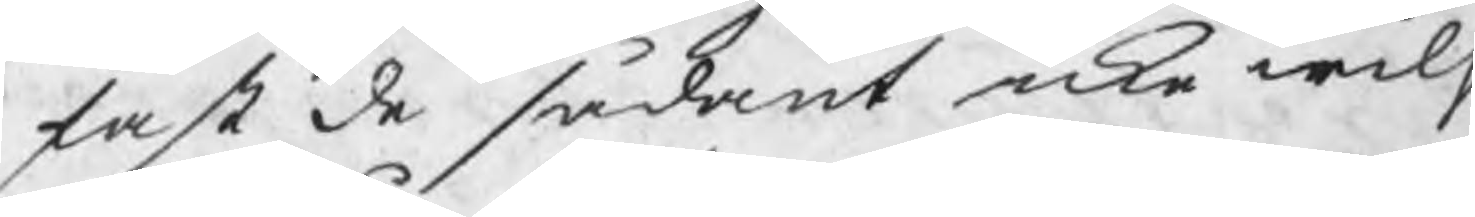fast de sådant icke wilj
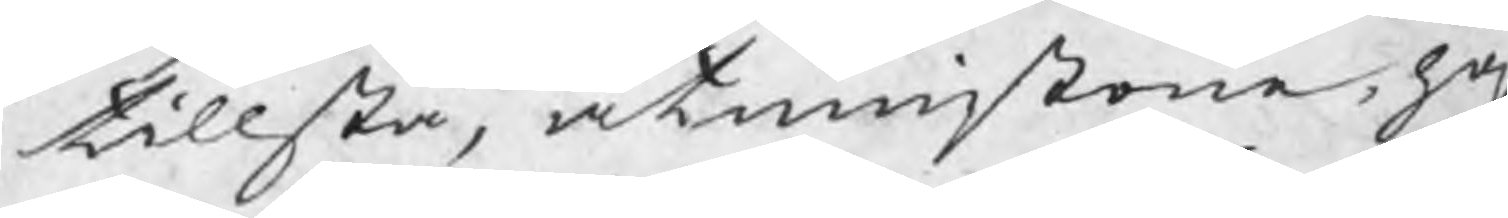tillstå, åtminstone haf
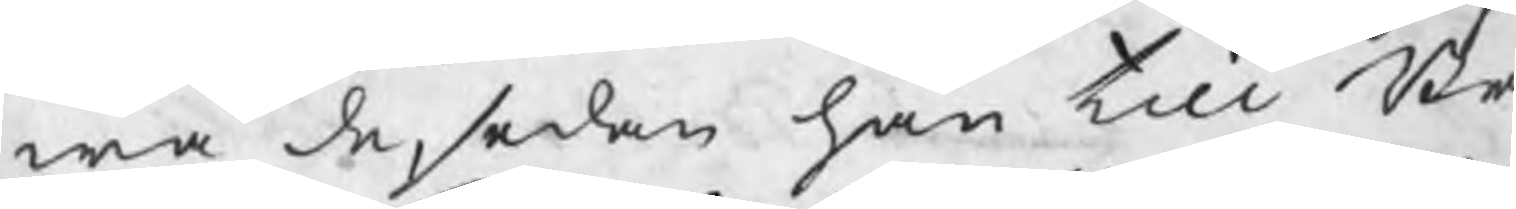wa de, sedan han till Br
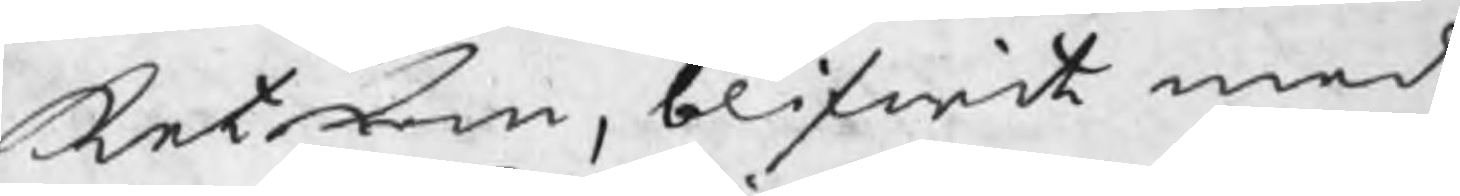ket kom, blifwit med
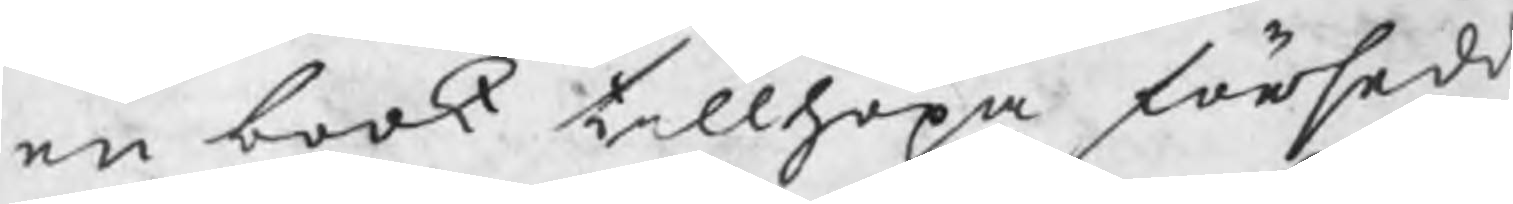en book tillhopa försedd
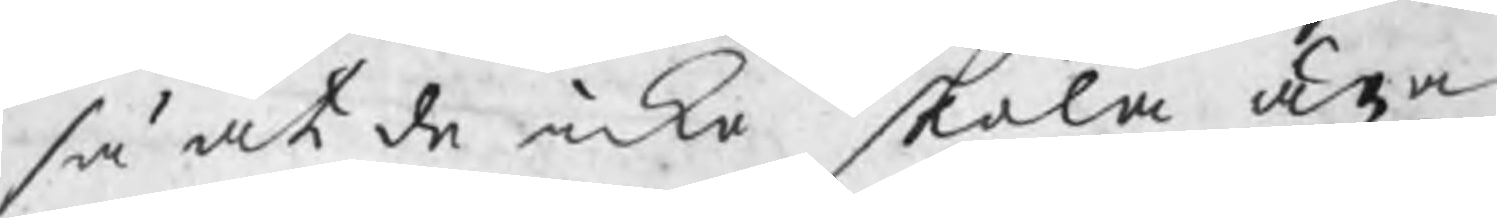så at de icke skola äga
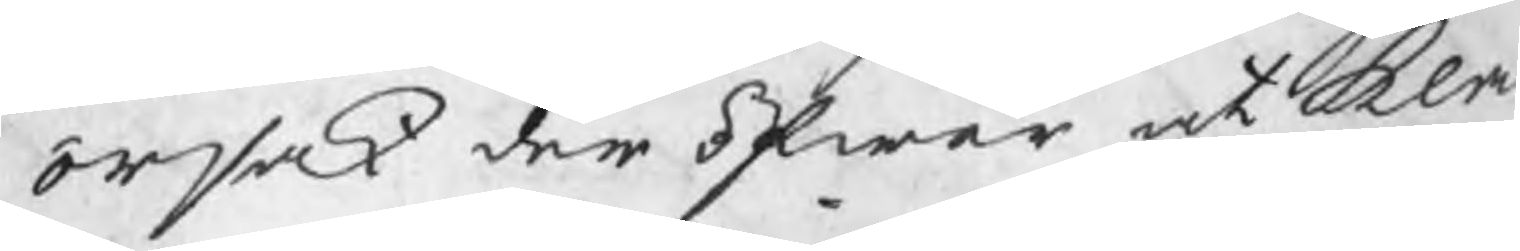orsak der öfwer at kla¬
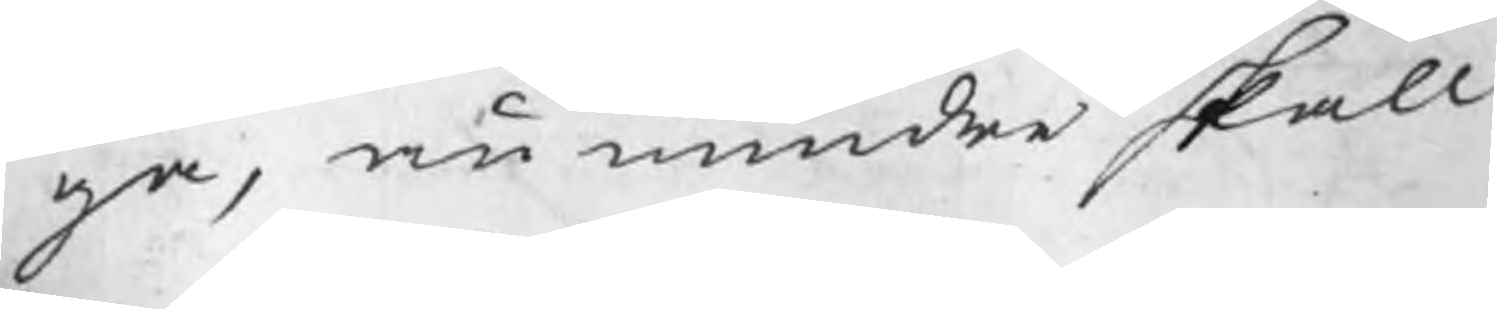ga, nu mindre skall
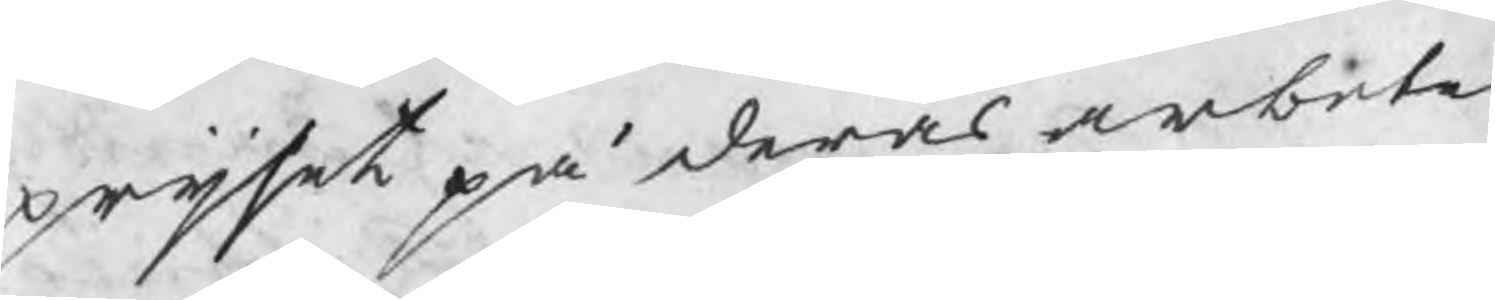prijset på deras arbete
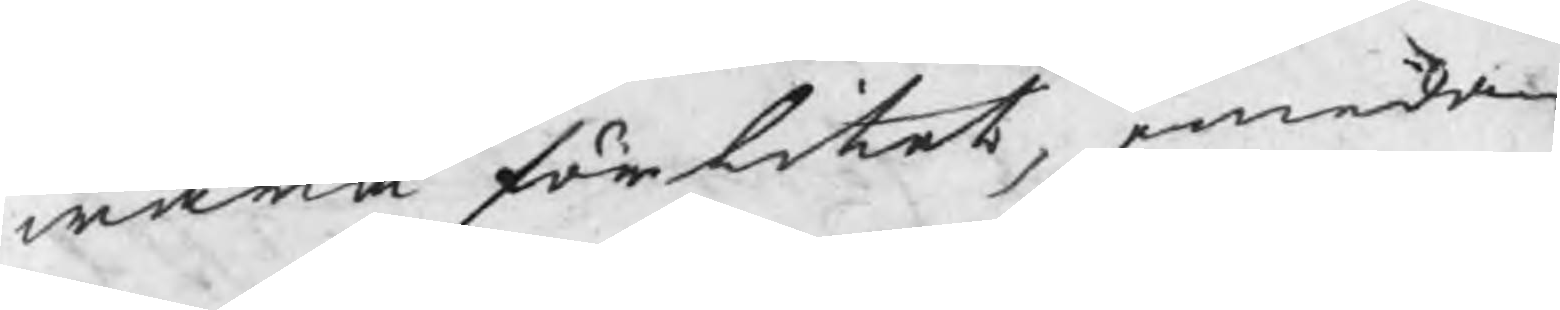wara för litet, emedan
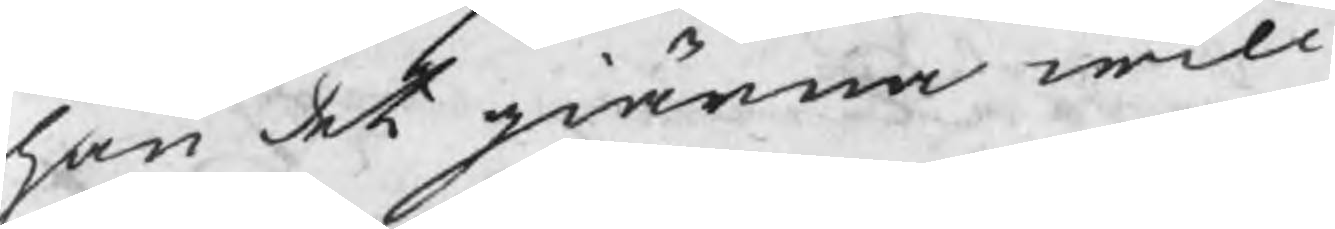han det giärna will
